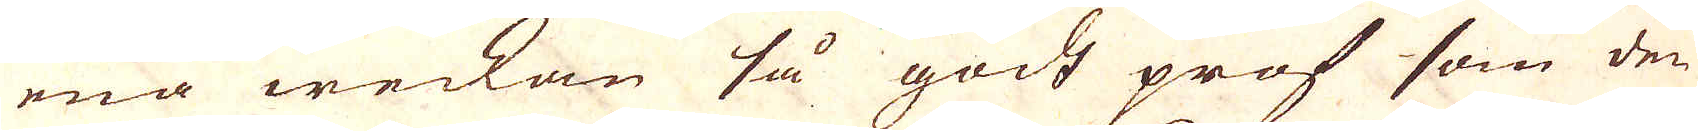ena weckan så godt prof som den
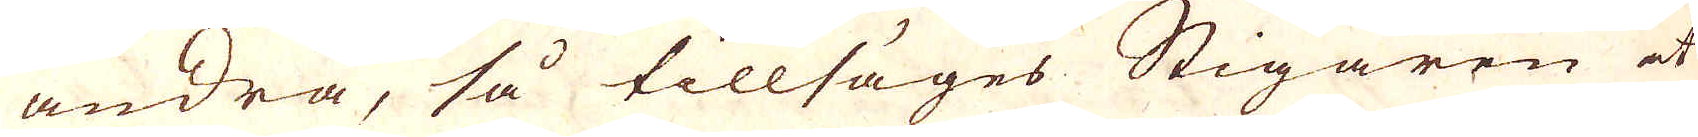andra, så tillsäges Stigaren at
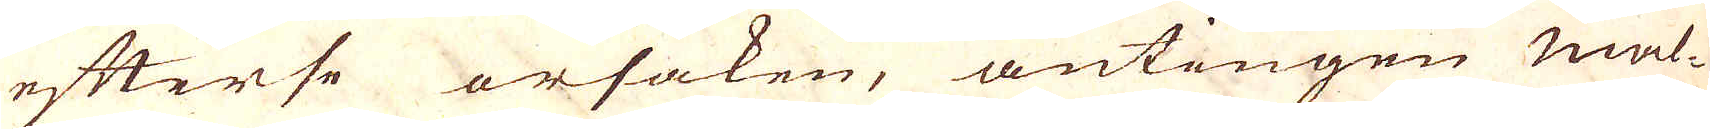efterse orsaken, antingen mal-
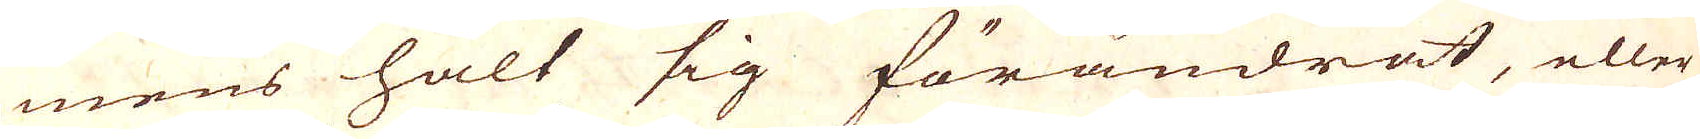mens halt sig förändrat, eller
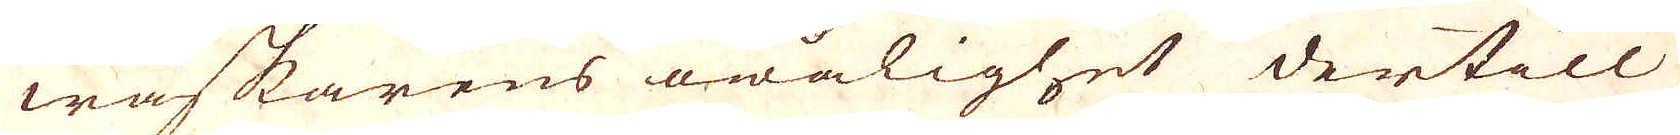waskarens owålighet dertill
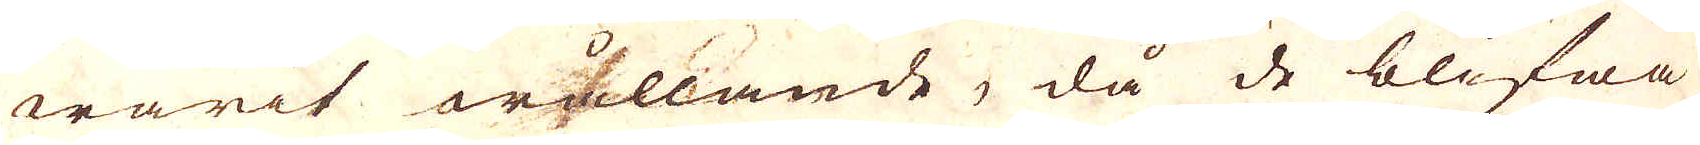warit wållande, då de blifwa
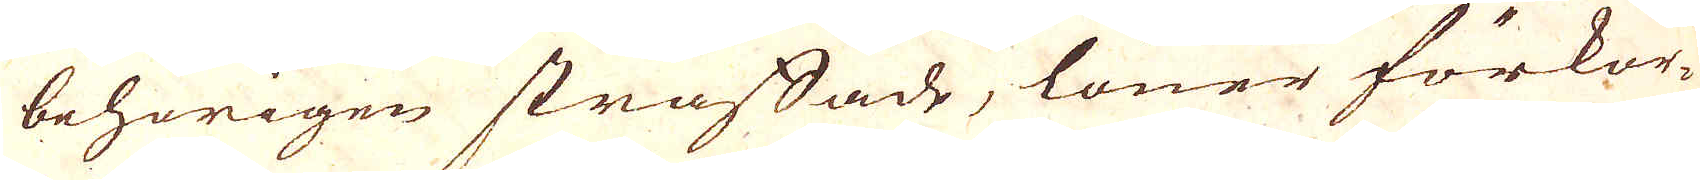behörigen straffade, löner förkor-
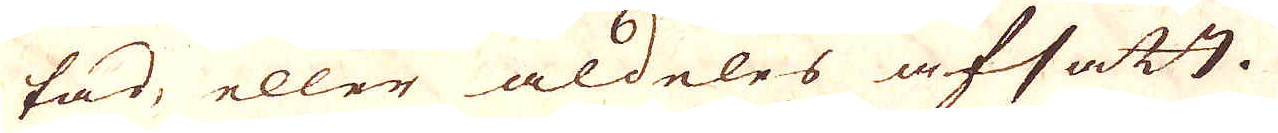tad, eller aldeles afsatt.
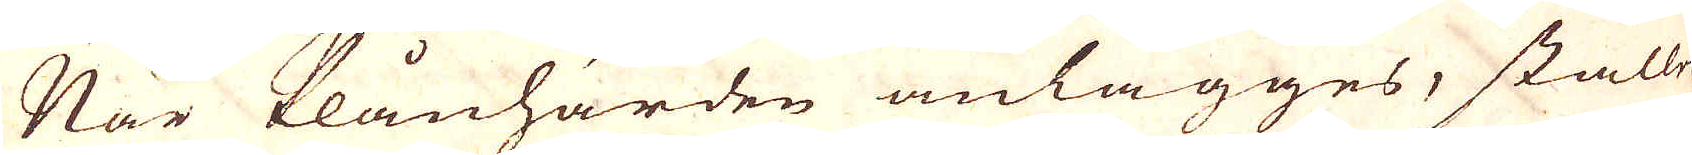När Plånhärden anlägges, ställes
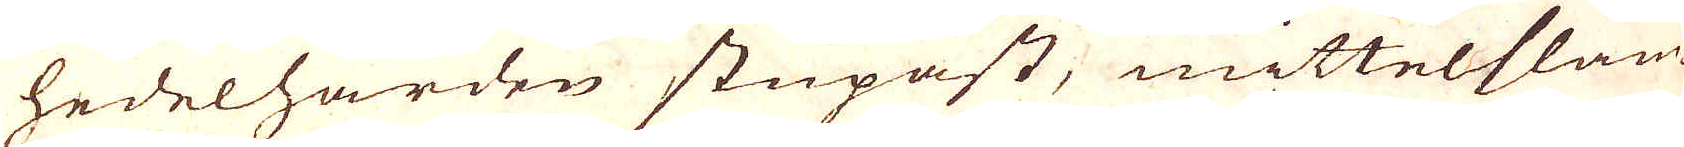hedelhärden stupast, mittelslam-
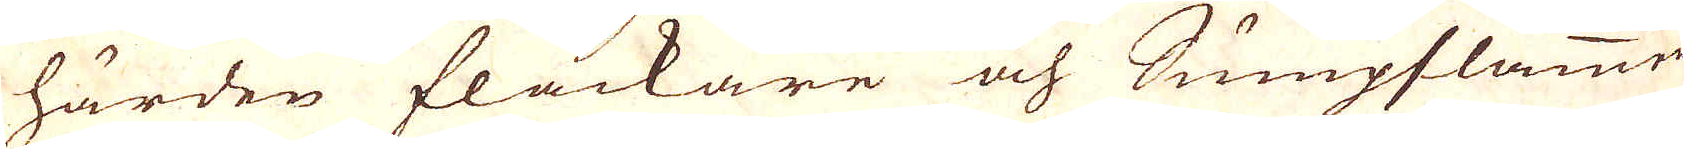härden flackare och Sumpslammen
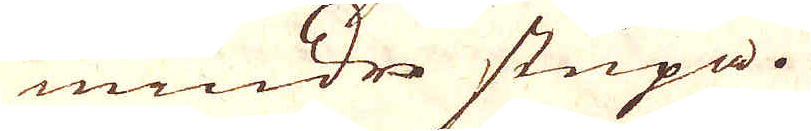mindre stupa.
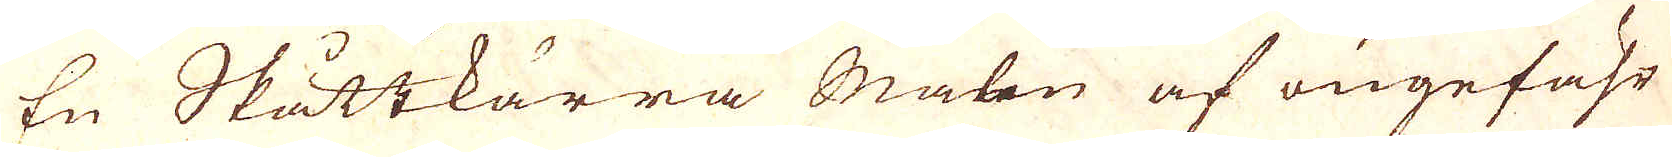En Skåttkärra Malm af ungefähr
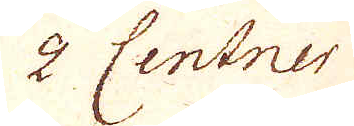2 Centner
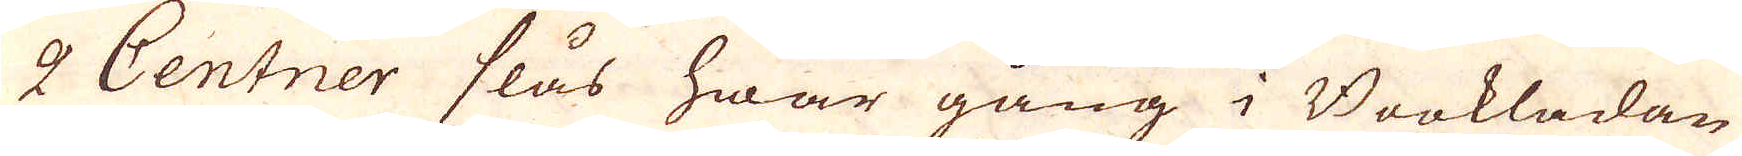2 Centner slås hwar gång i Bookladan
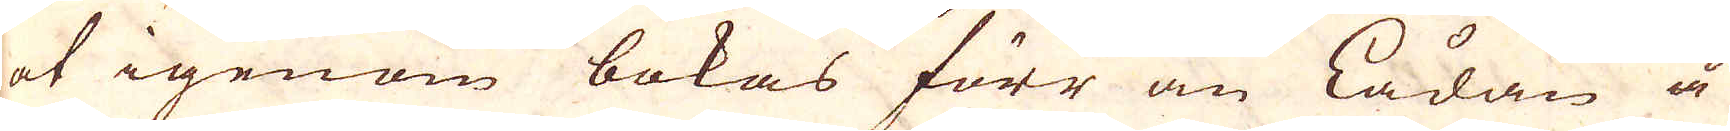at igenom bokas förr än Lådan å
